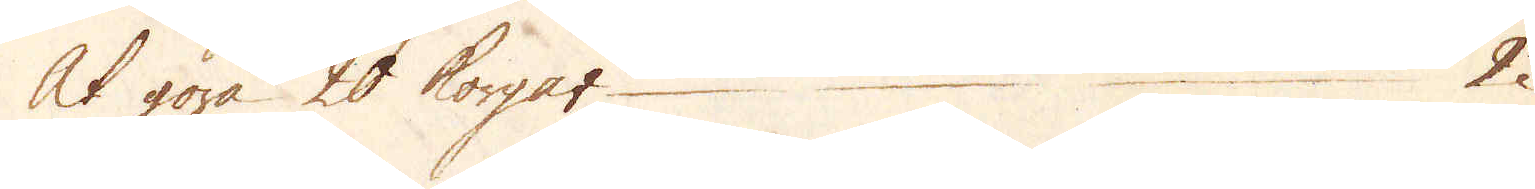At göra 20 korgar 2
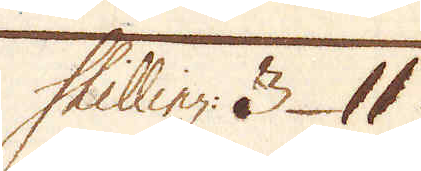Skilling: 3 11
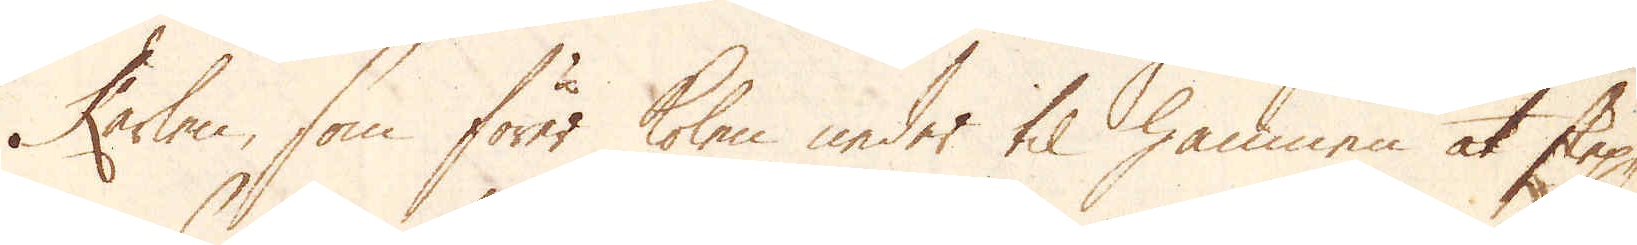Karlen, som förer  kolen neder til hamnen at skep-
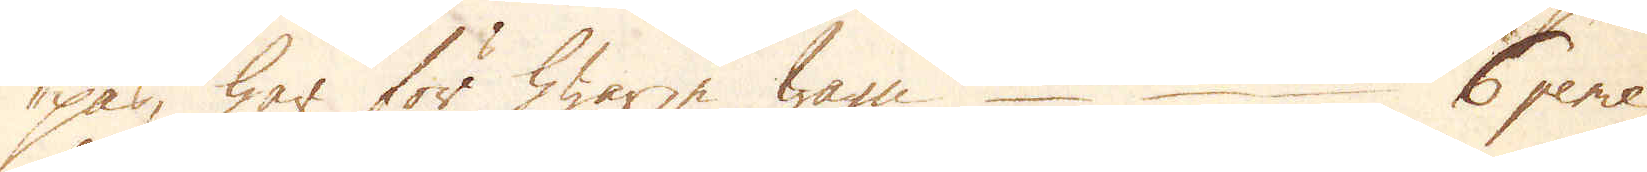pas, har för hwarje wagn 6 pence,
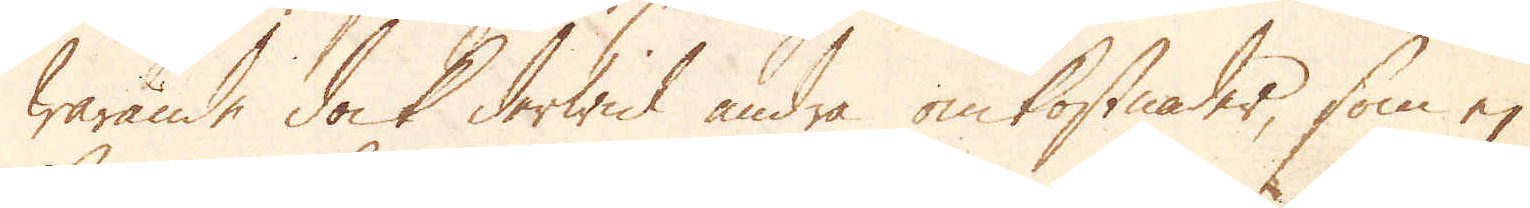warande dock derwid andra omkostnader, som ej
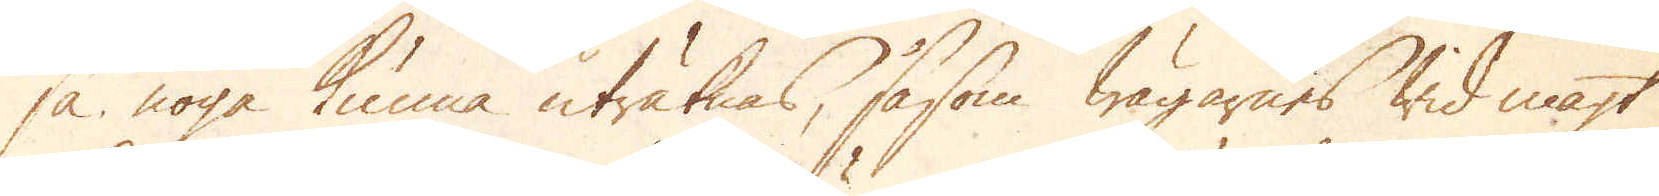så noga kunna uträknas, såsom wägarens wid magt
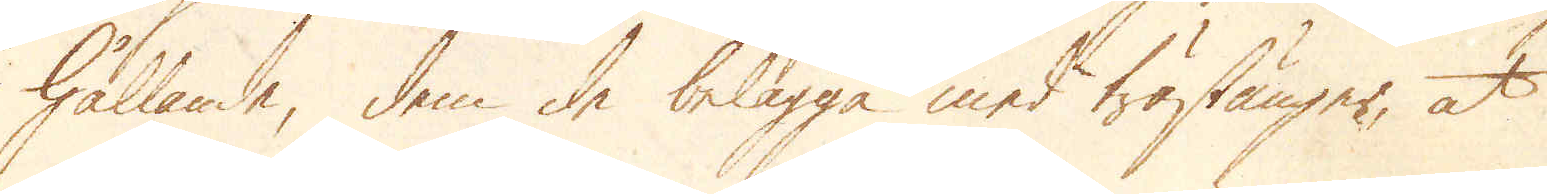hållande, dem de belägga med trästänger, at 
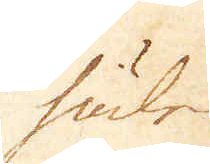hålen
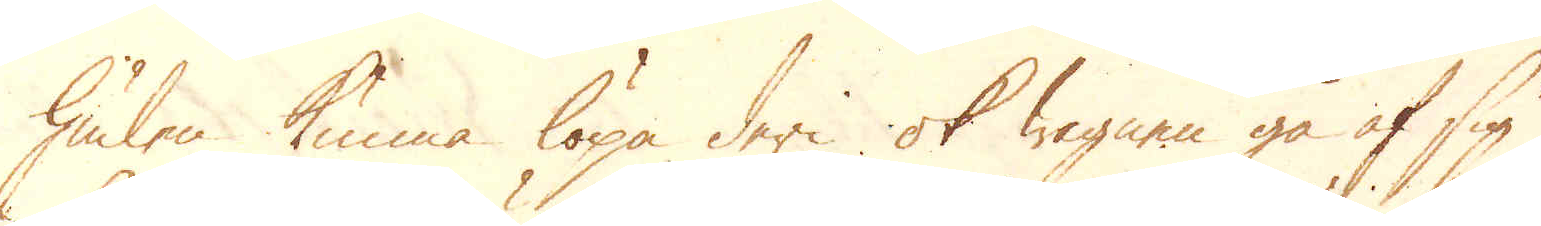hålen kunna löpa deri ok wagnen gå af sig
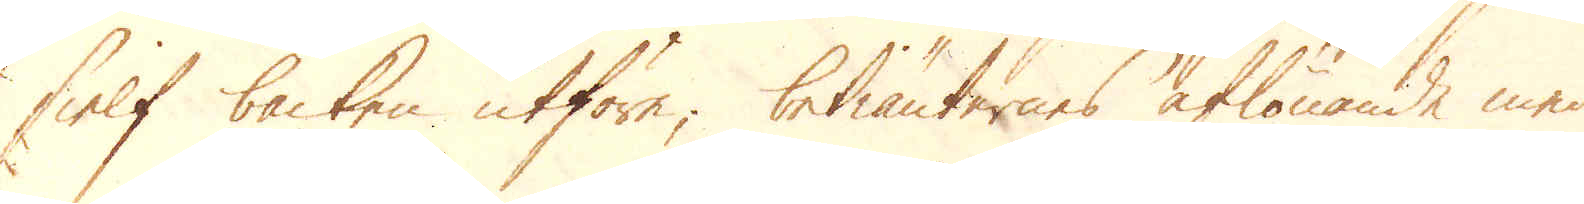sielf backen utföre; betiänternes aflönande med
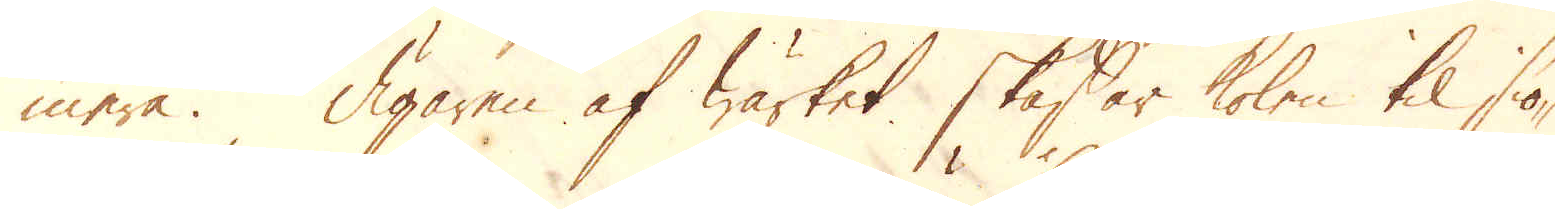mera. Ägaren af wärket skaffar kolen til siö-
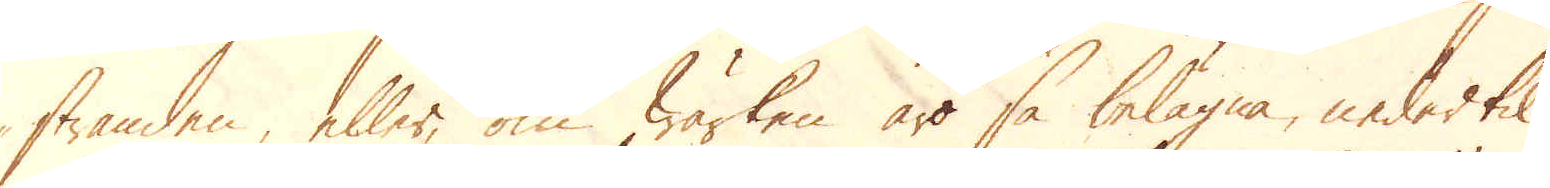stranden, eller om wärken äro så belägna, nedertil
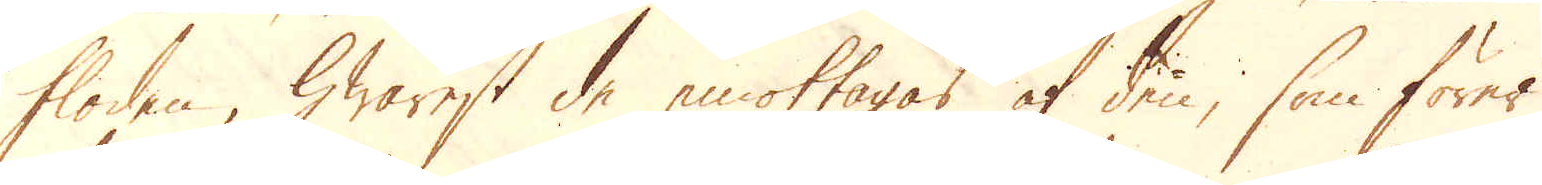floden, hwarest de emottagas af den, som förer
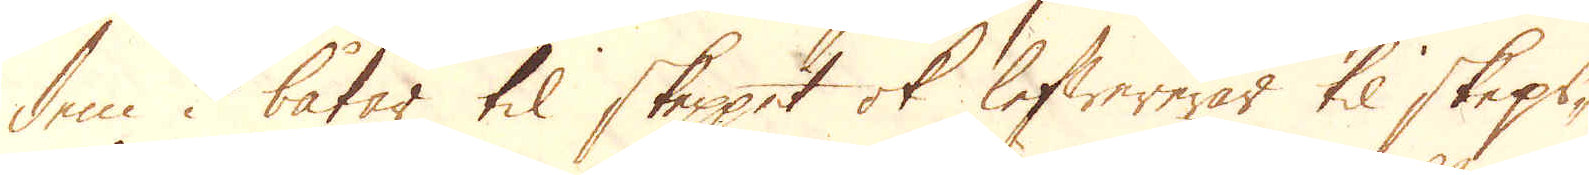dem i båtar til skeppet ok lefwereras til skeps-
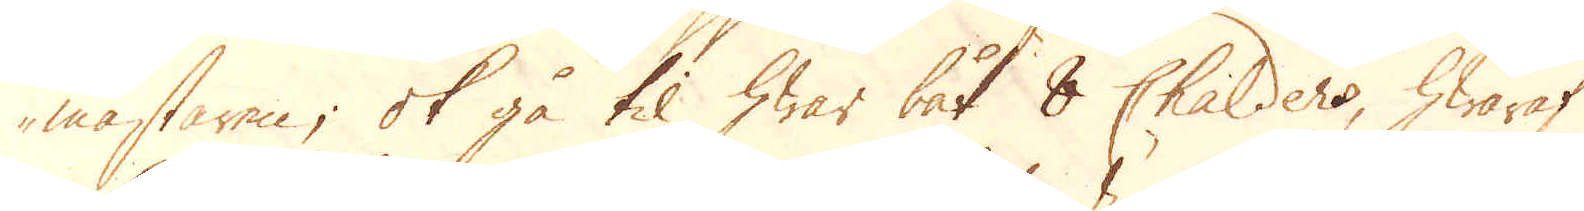mästaren; ok gå til hwar båt 8 Chalders, hwaraf
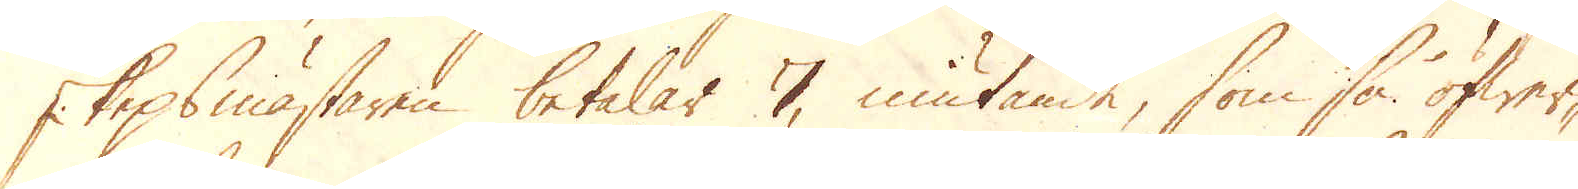skepsmästaren betalas 7, niutande som så öfwer-
